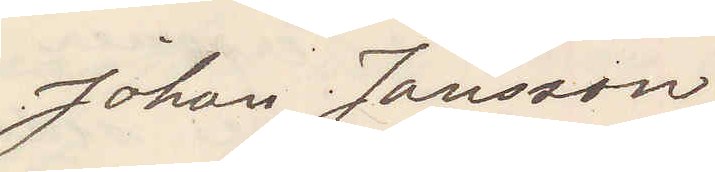Johan Jansson
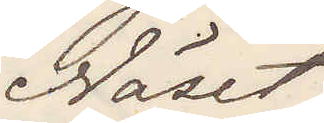Näset
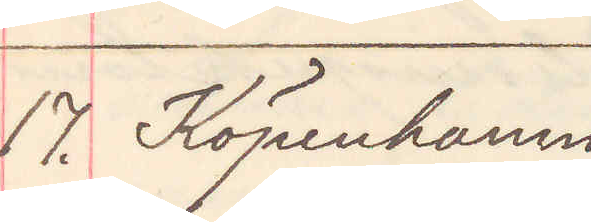17. Köpenhamn
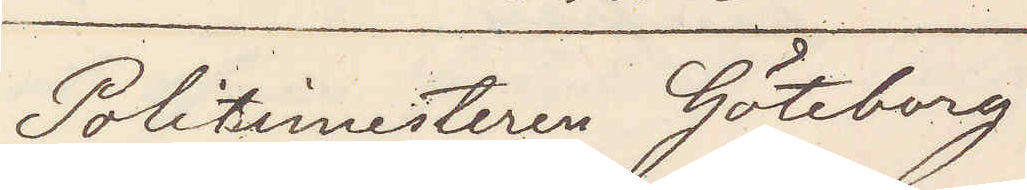Politimesteren Göteborg
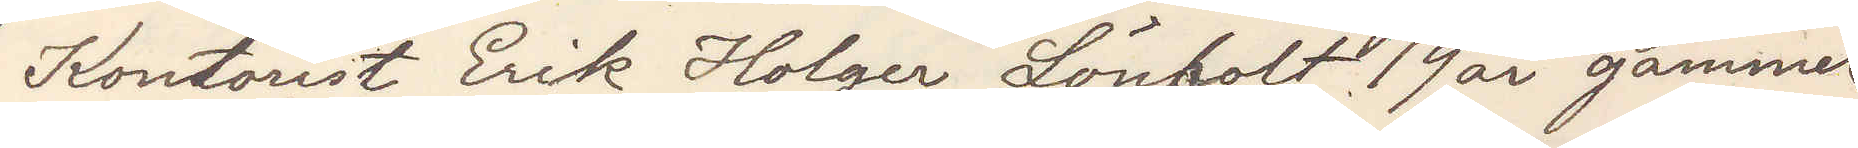Kontorist Erik Holger Lönholt, 19 år gammel,
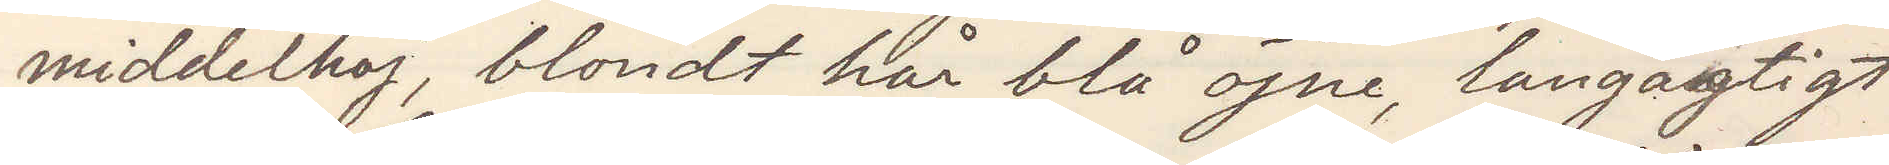middelhöj, blondt hår blå öjne, langagtigt
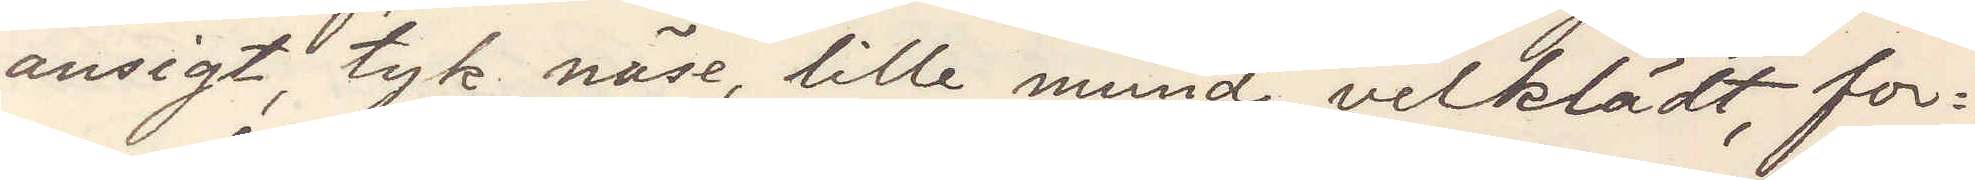ansigt, tyk näse, lille mund, velklädt, for¬
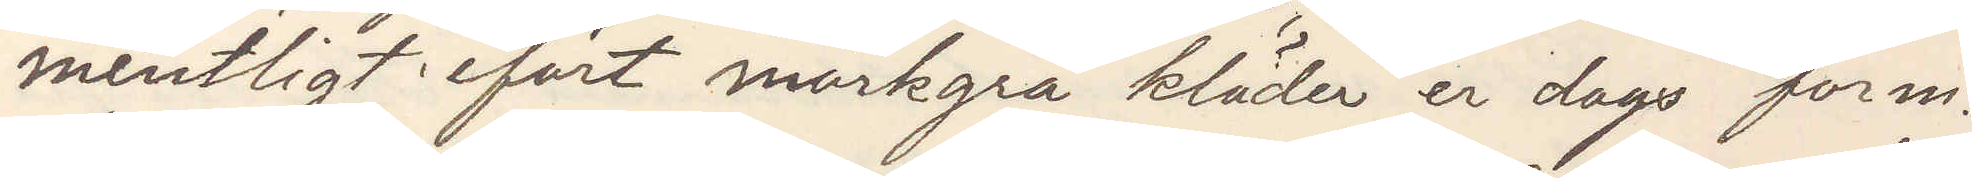mentligt ifört mörkgrå kläder er dags form
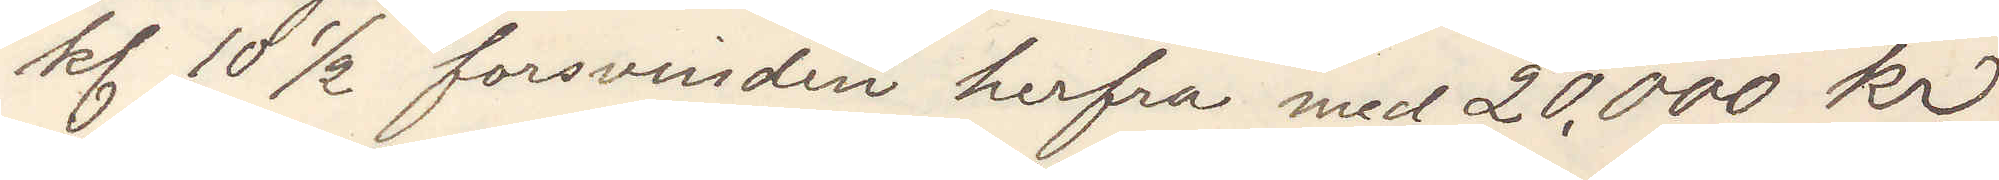kl 10 ½ forsvinden herfra med 20,000 kr
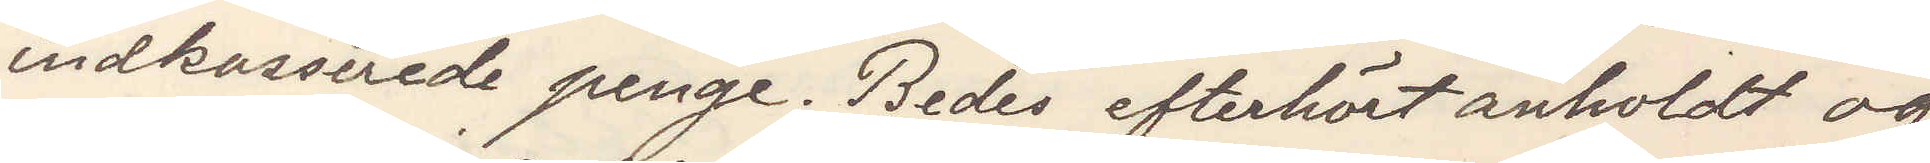indkasserade penge. Bedes efterhört anholdt og
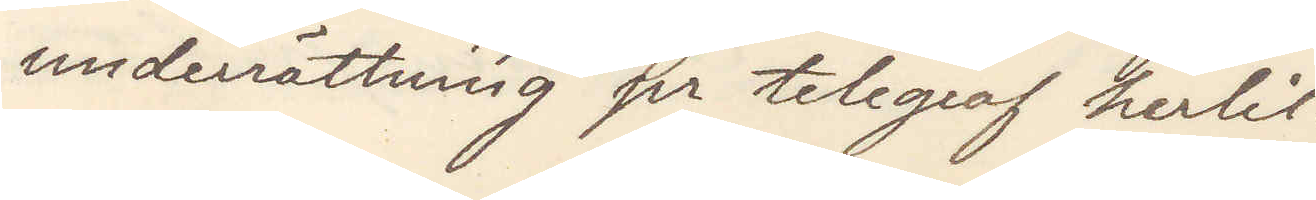undrrättning pr telegraf herlit.
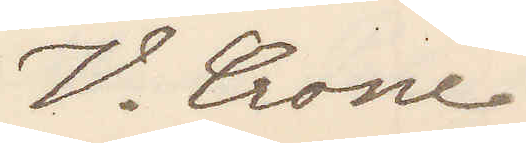V. Crone
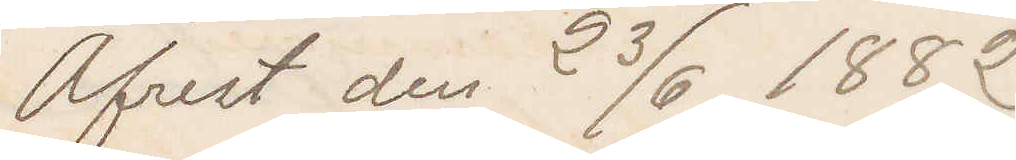Afrest den 23/6 1882
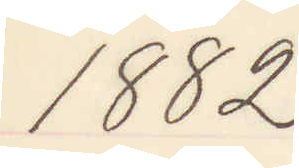1882
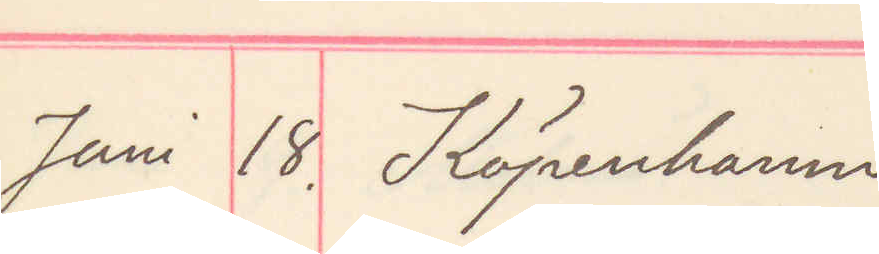Juni 18. Köpenhamn
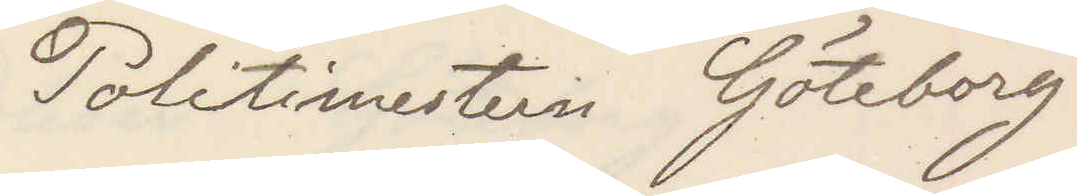Politimesteren Göteborg
